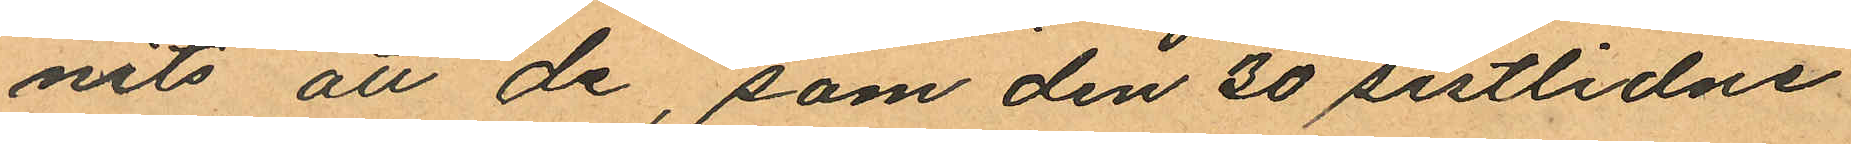nits att de, som den 30 sistlidne
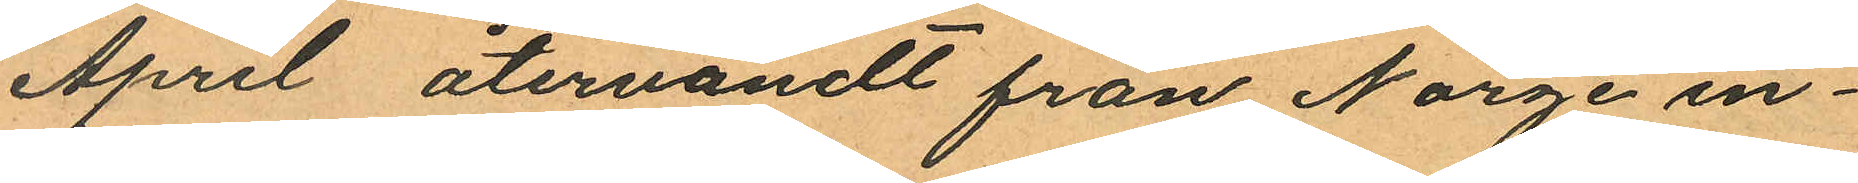April återvändt från Norge in¬
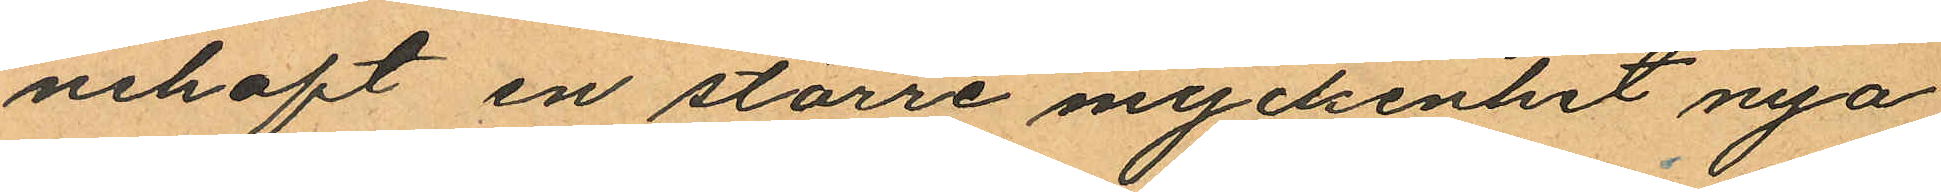nehaft en större myckenhet nya
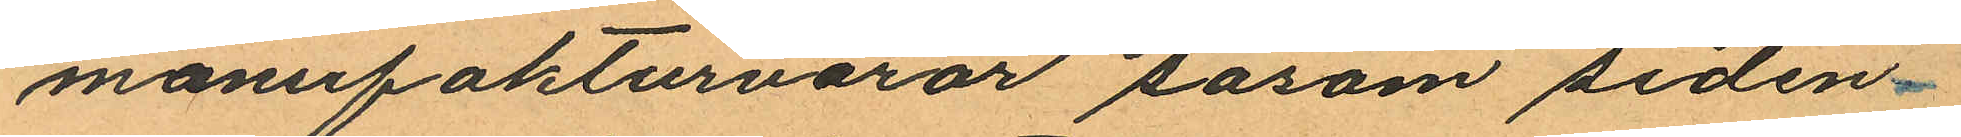manufakturvaror såsom siden¬
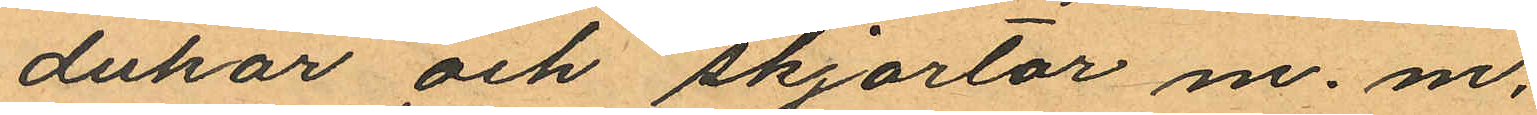dukar och skjortor m. m.
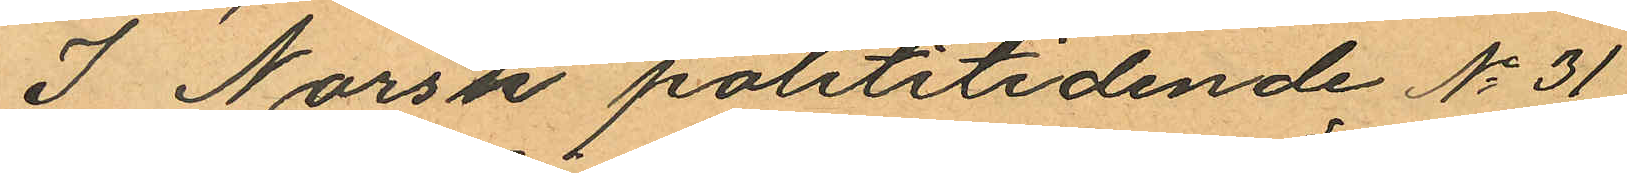I Norsk polititidende No 31
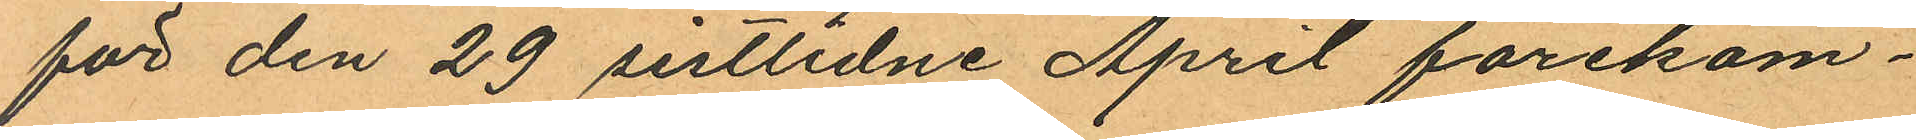för den 29 sistlidne April förekom¬
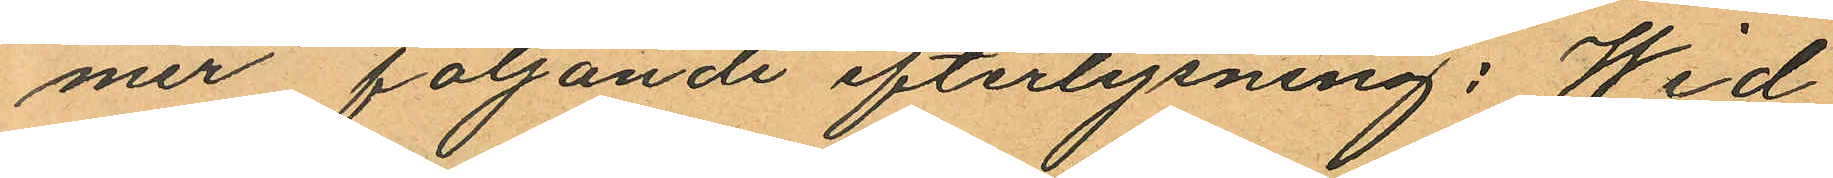mer följande efterlysning; Wid
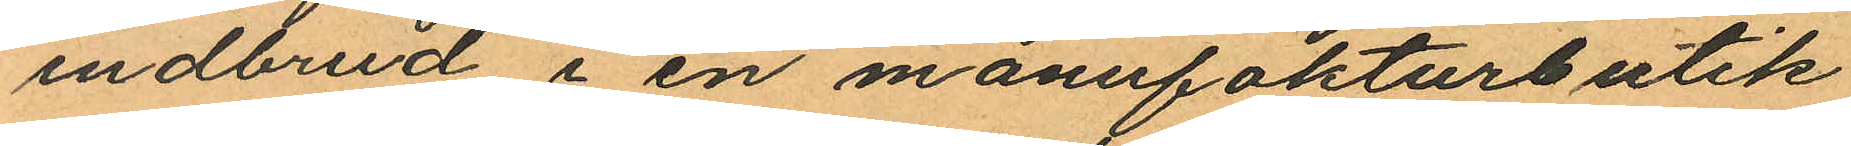indbrud i en manufakturbutik
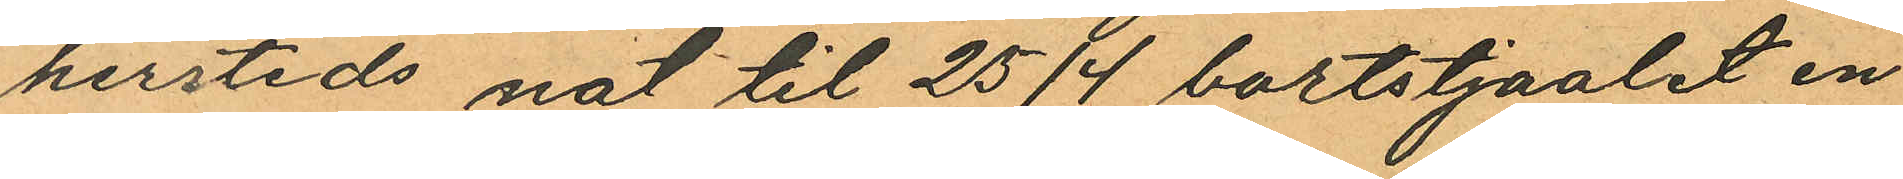hersteds nat til 25/4 bortstjaalet en
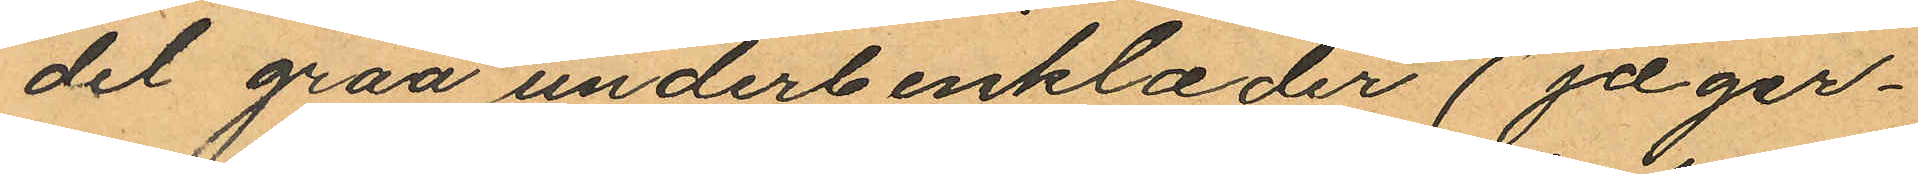del graa underbenklæder (jæger¬
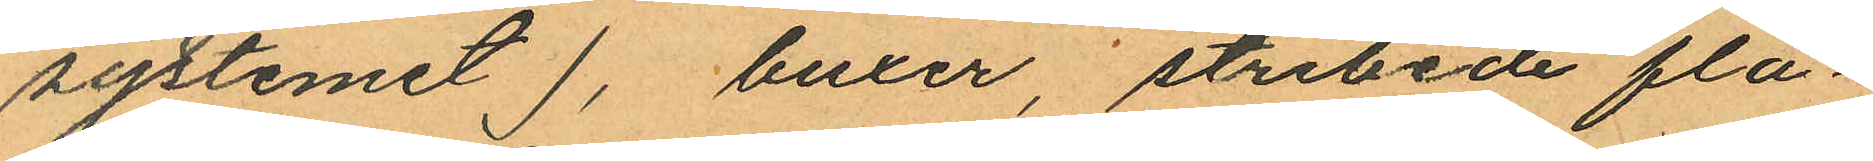systemet ), buxer, stribede fla¬
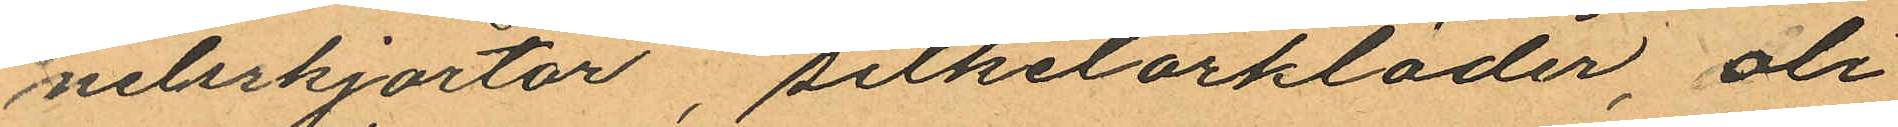neleskjortor, silketorkläder, oli
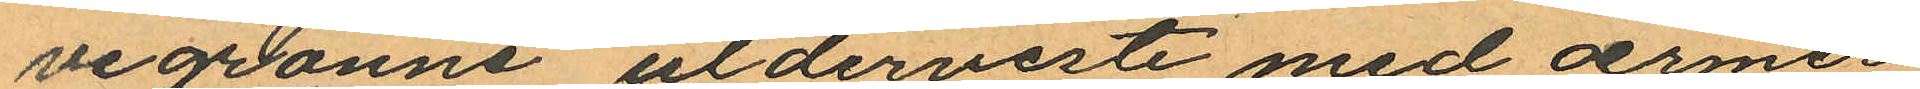vegrönne ulderveste med ærmer
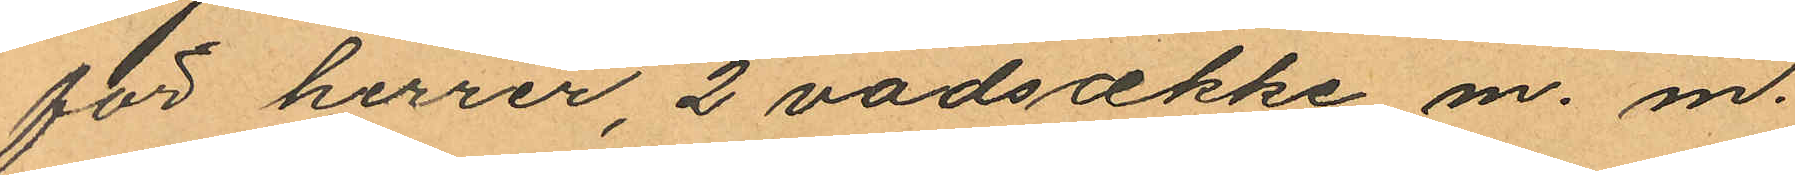för herrer, 2 vadsække m. m.
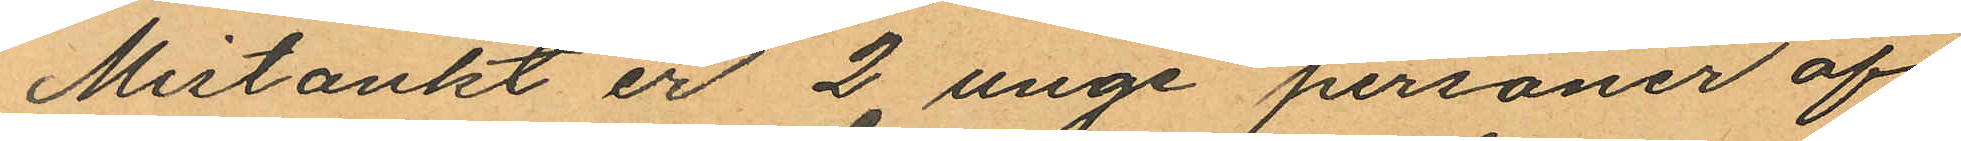Mistänkt er 2 unge personer af
